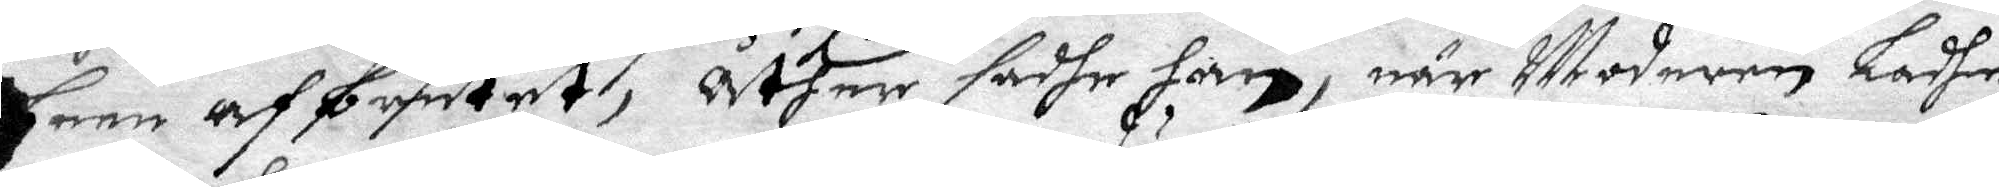been afbrutet, åther sadhe han, när Moderen Ladhe
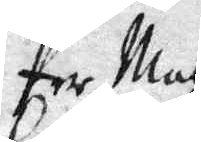Per Matz
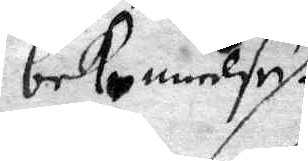bekennelse
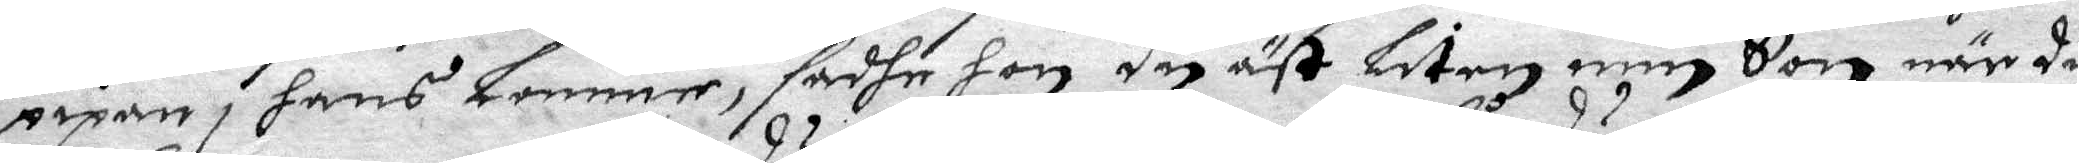pipan i hans Lomme, sadhe hon du äst Liten min Son när du
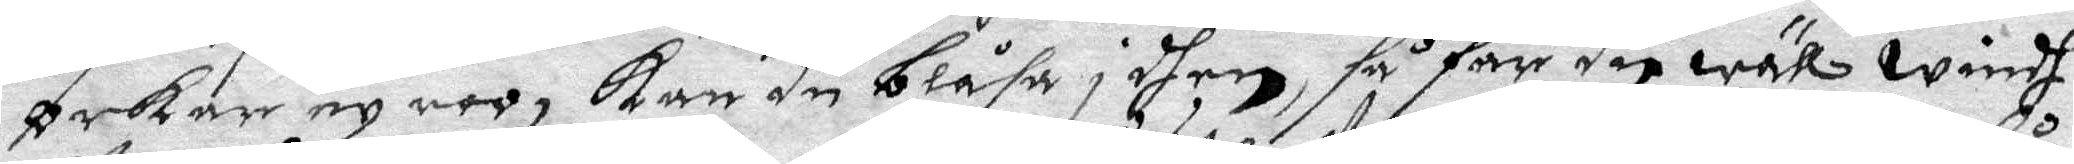orkar ey roo, Kan du blåsa i dhen, så får du wäll windh.
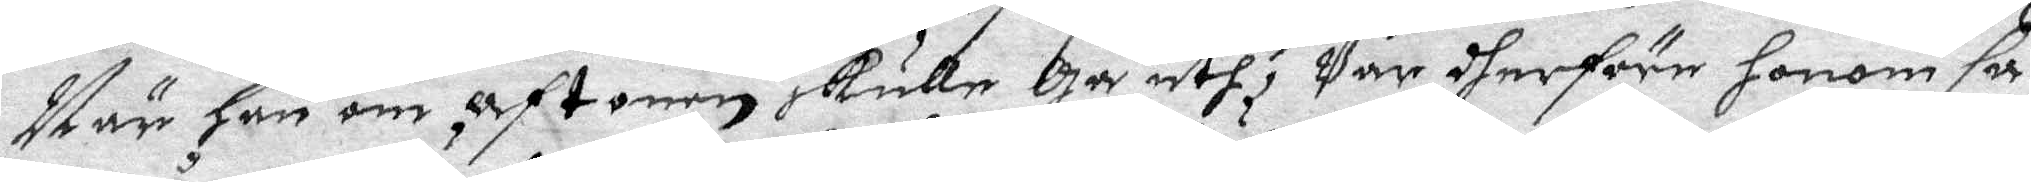När han om aftonen skulle Gå uth, Var dherföre honom så
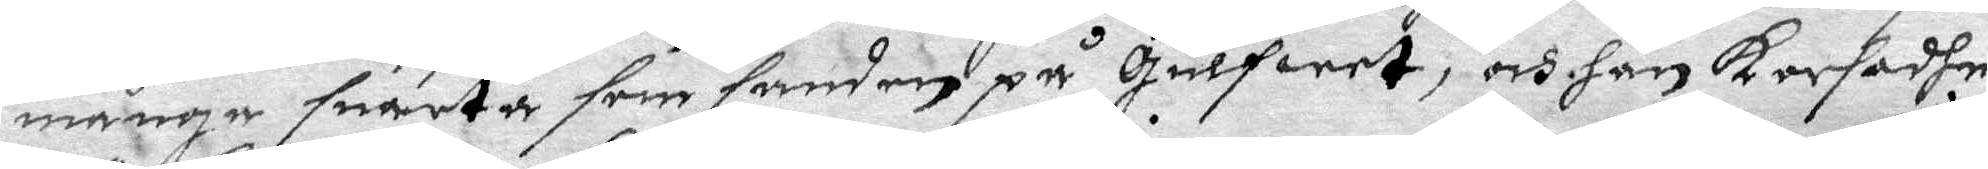många suarta som sandenpå Gulfwer, och han karfadhe
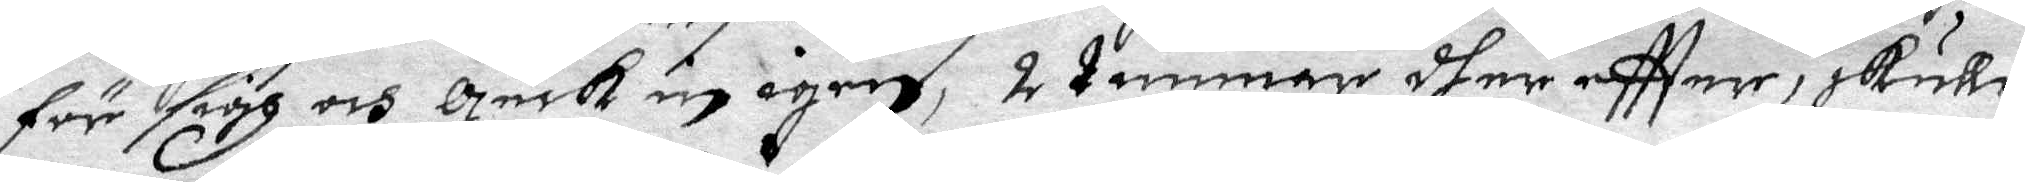för sigh och geck in igen, 2 timmar dhereftter skulle
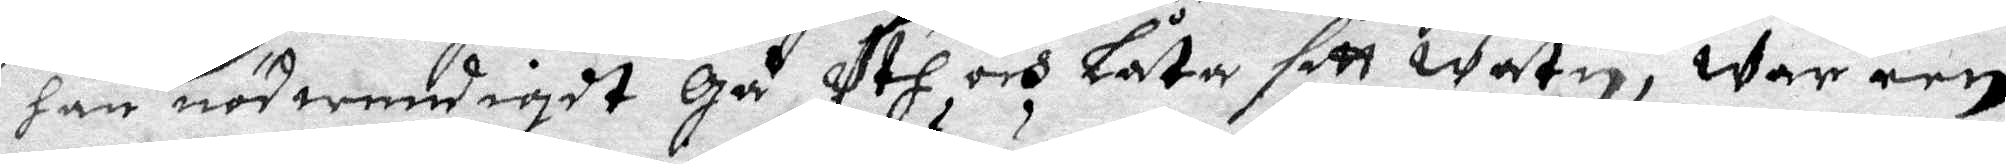han ndwendigdt Gå uth och Låta sitt watn, war ren¬
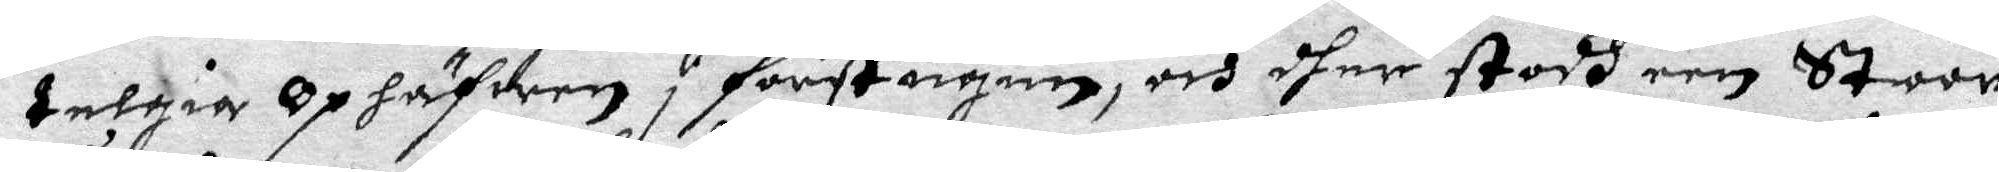telgia Ophäfwen i förstugun, och dher stodh een Stoor
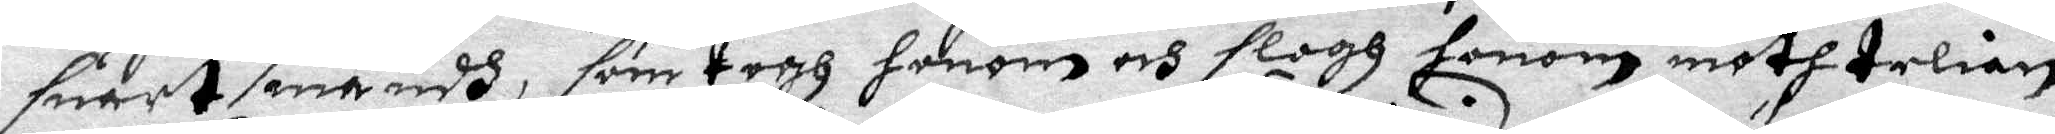suart mandh, som togh honom och slogh honom mooth telian
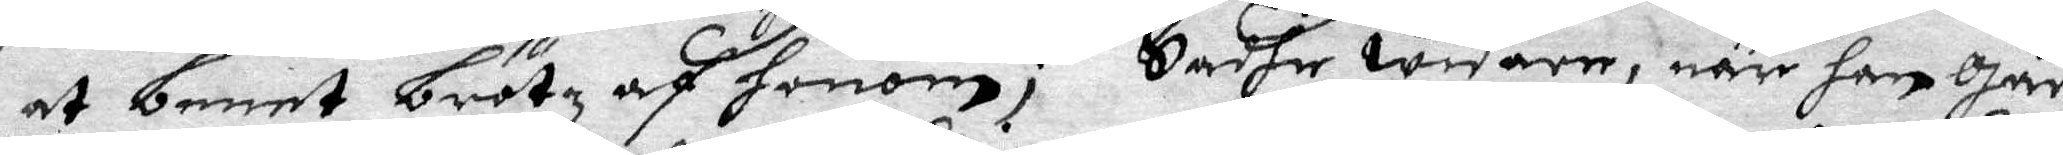at benet brötz af honom; Sadhe widare, när han Går
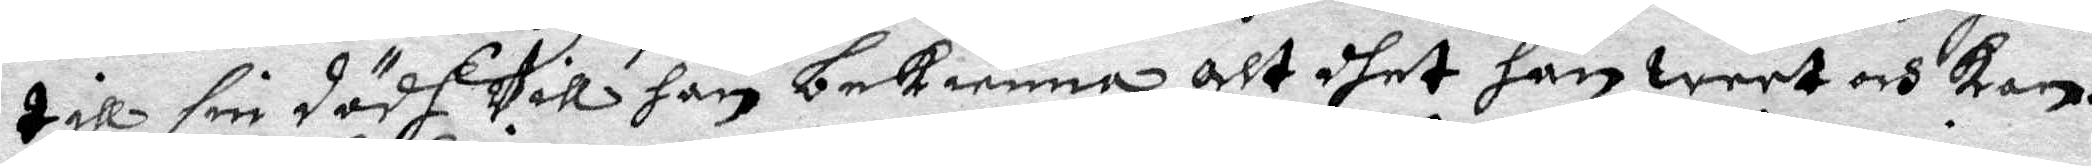till sin dödh Vill han bekienna alt dhet han weet och kan.
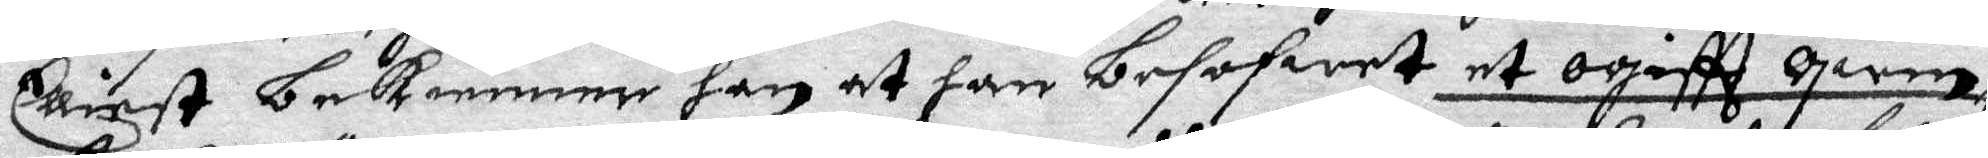Elliest bekienner han at han besofwet et ogiftt qwin¬
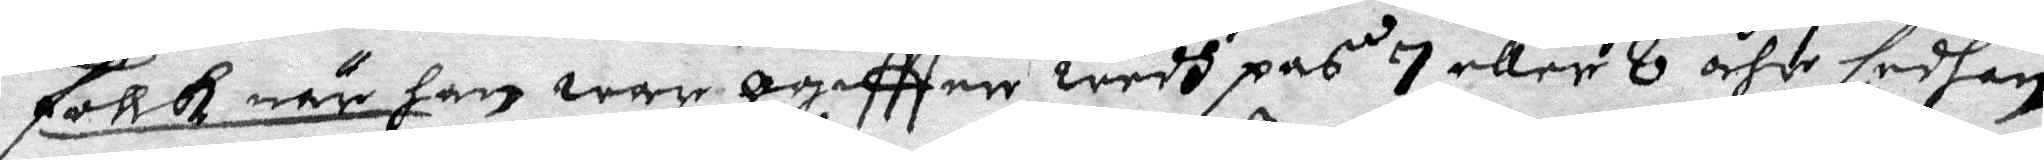follk när han war ogiftter wedh pas 7 eller 8 åhr sedhan
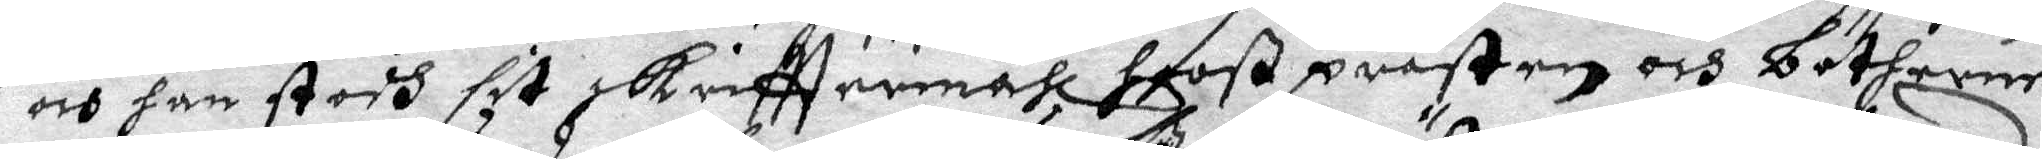och jan stodh sit skrifttemåhl hooß prästen och bötherne
